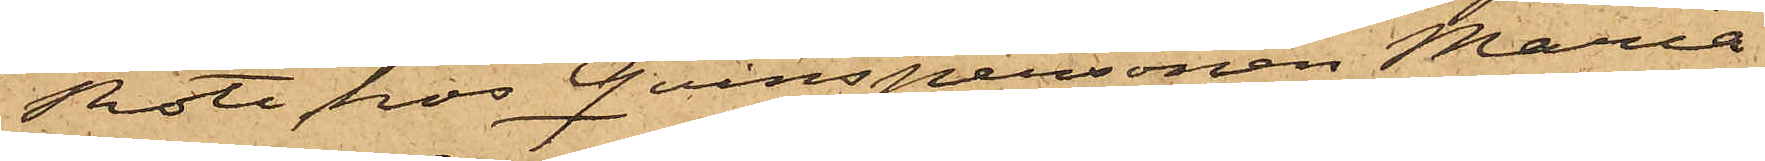Rote, hos Qvinspersonen Maria
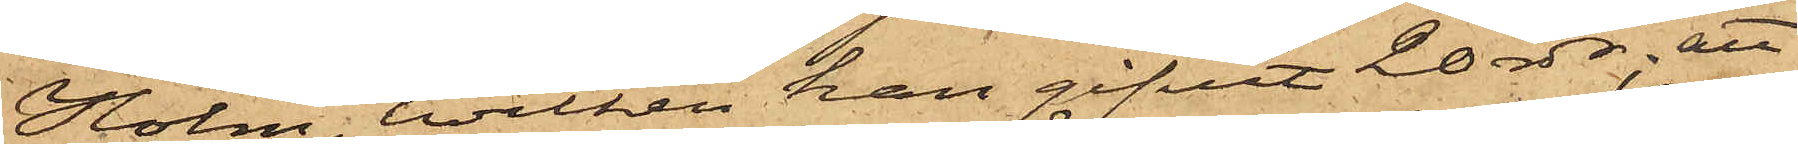Holm, hvilken han gifvit 20 rdr; att
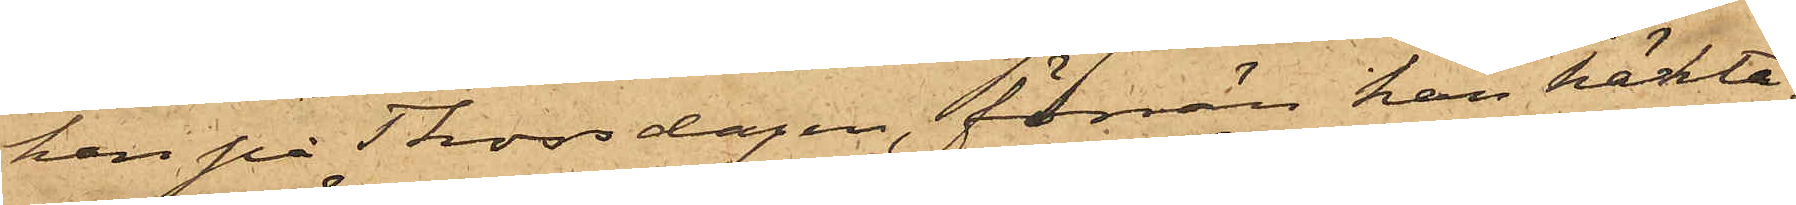han på Thorsdagen, förrän han häkta¬
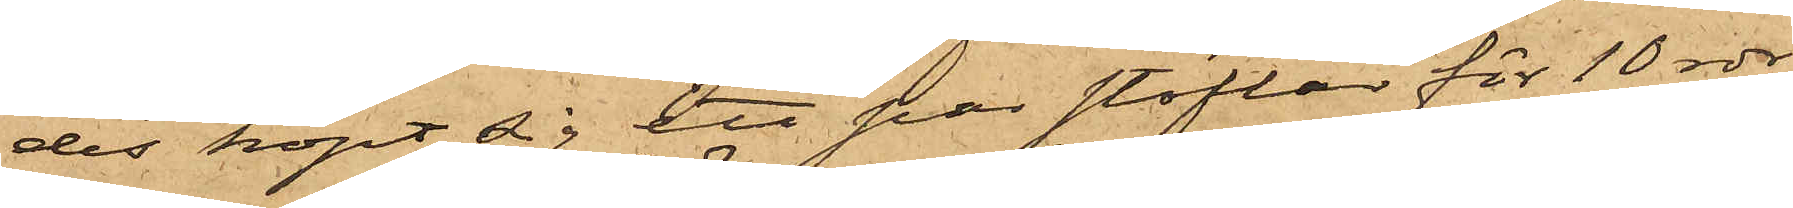des, köpt sig ett par stöflar för 10 rdr
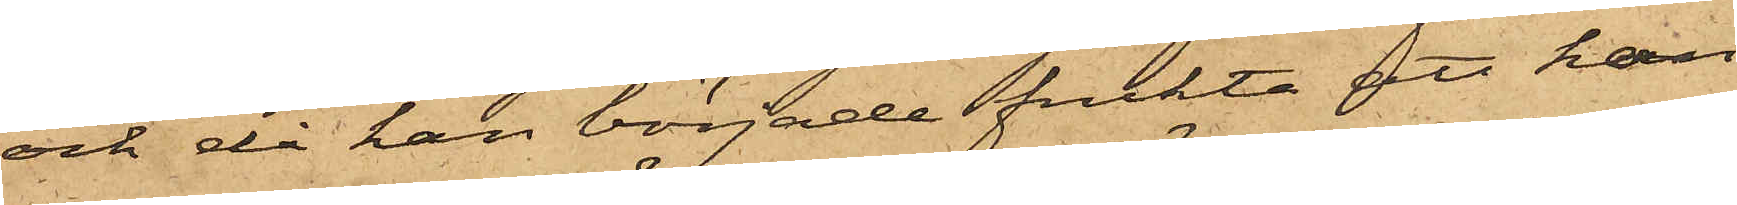och då han började frukta att han
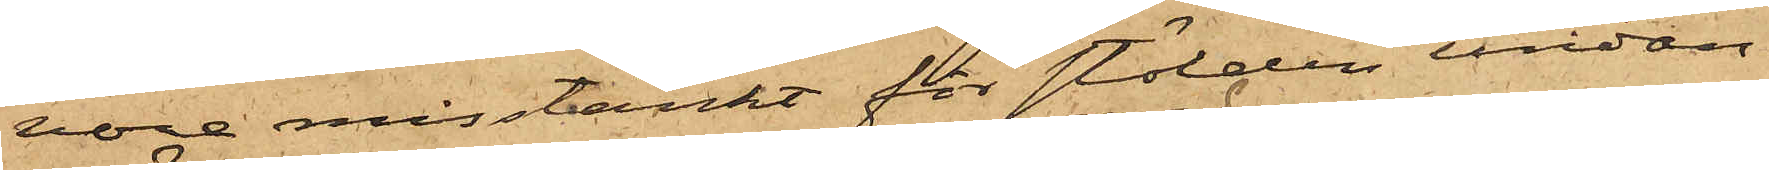vore misstänkt för stölden undan¬
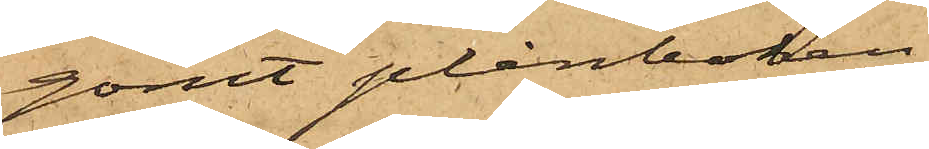gömt plånboken
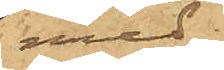med
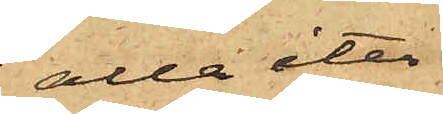alla åter¬
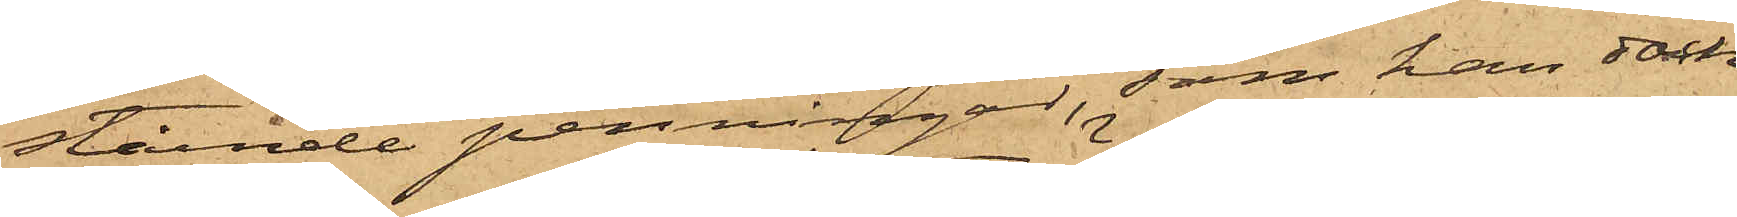stående penningar, som han dock
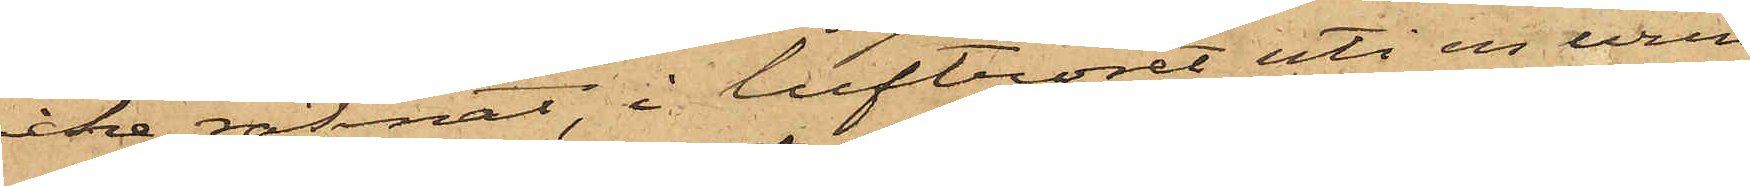icke räknat, i luftröret uti en urin¬
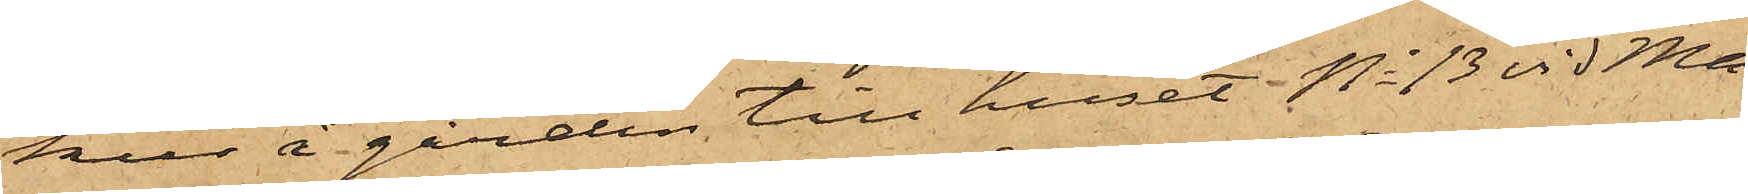kur å gården till huset No 13 vid Ma¬
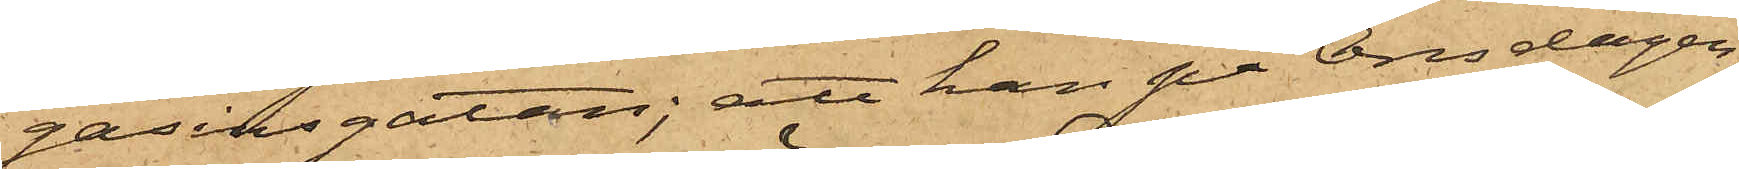gasinsgatan; att han på Onsdagen
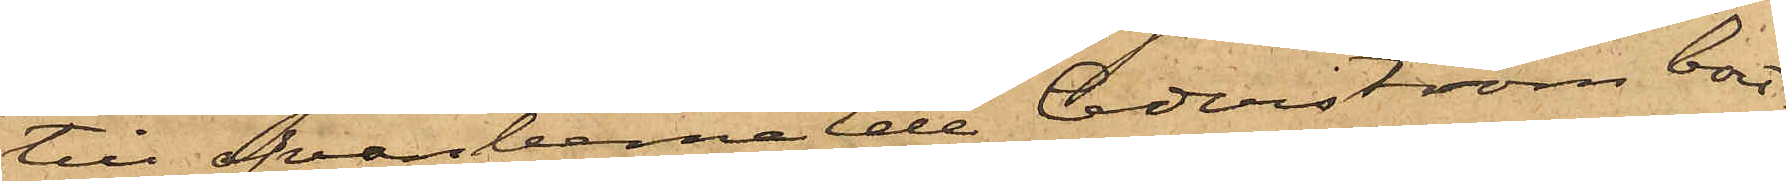till ofvanbemälde Cederström bort¬
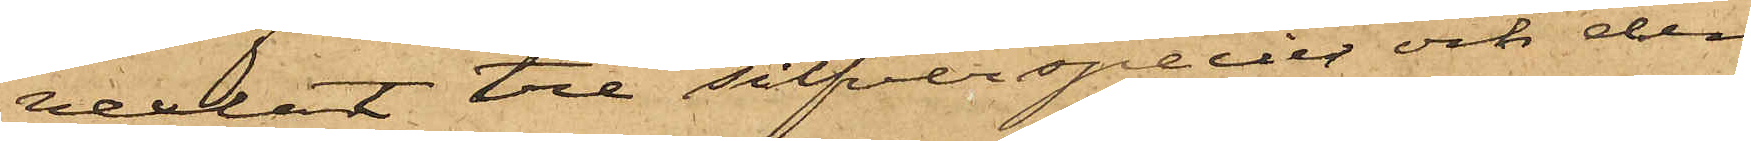vexlat tre silfverspecier och den
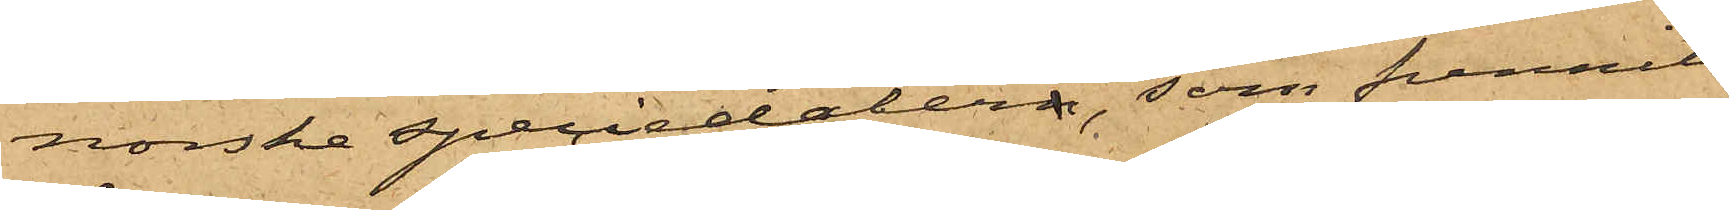norske speciedalern, som funnits
